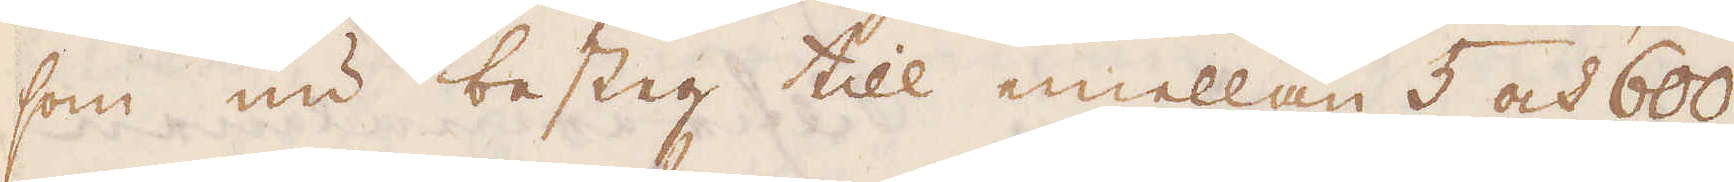som nu besteg till emellan 5 och 600
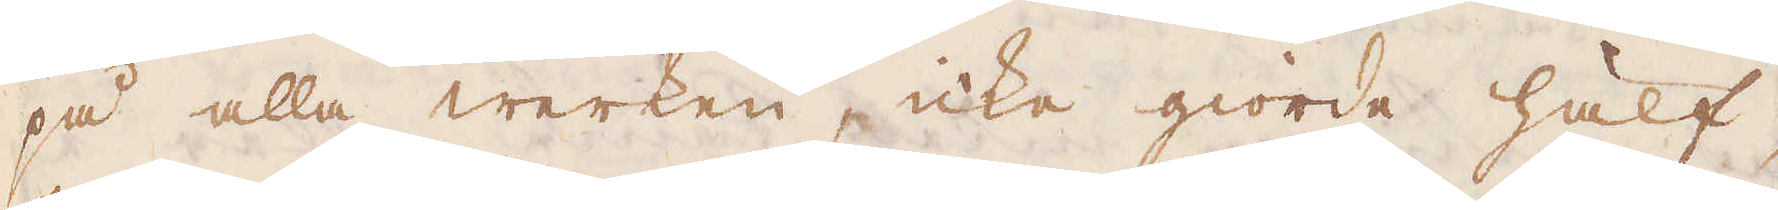på alla werken, icke giorde hälf-
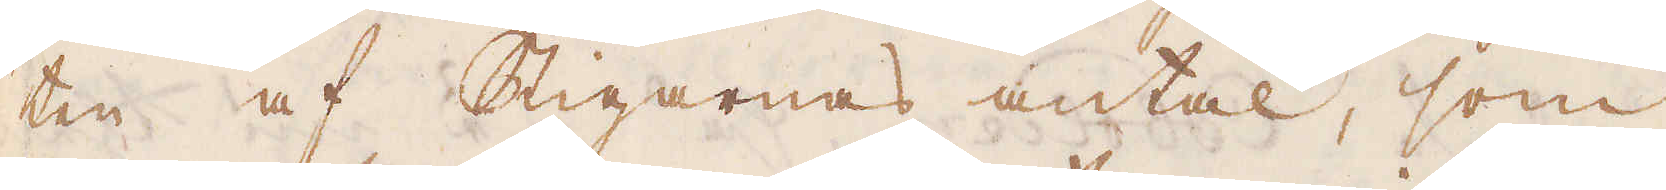ten af Stigarnas antal, som
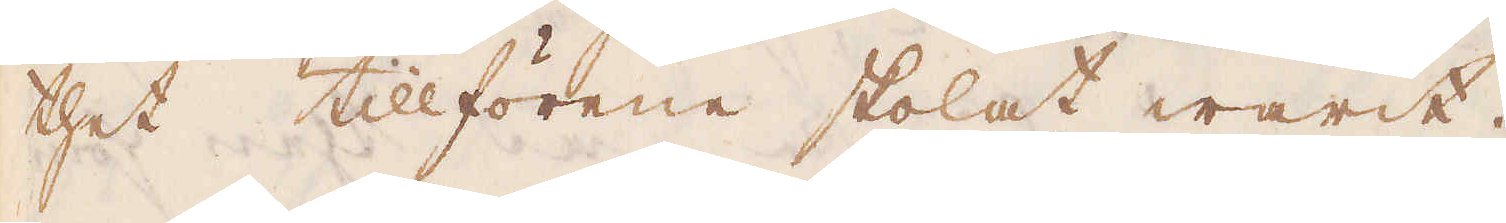thet tillförene skolat warit.
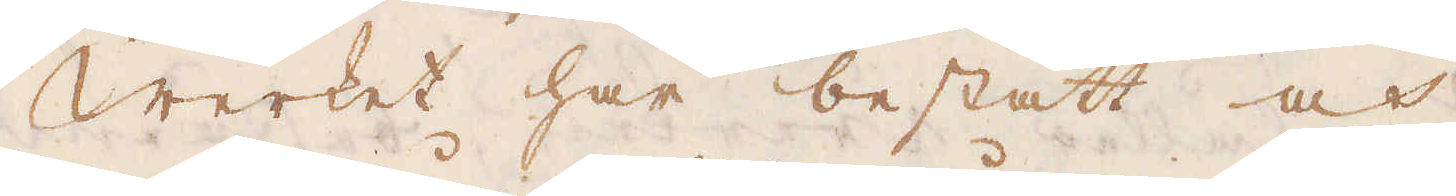Werket har bestått och
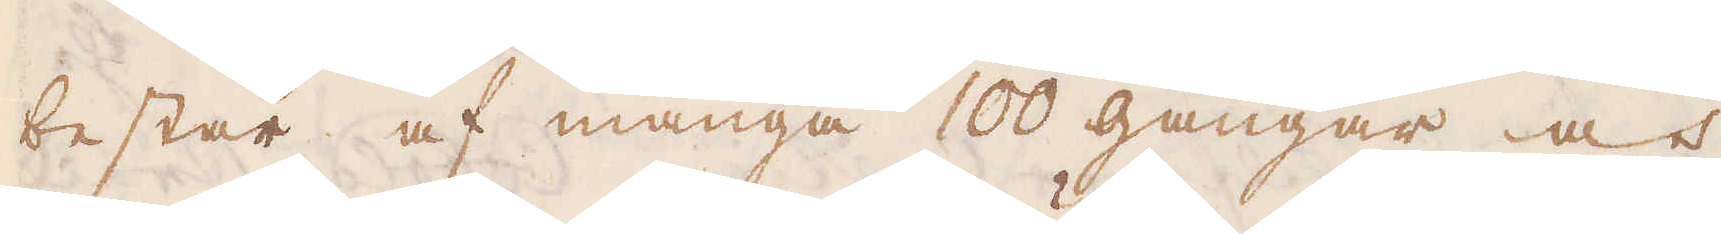består af många 100 gångar och
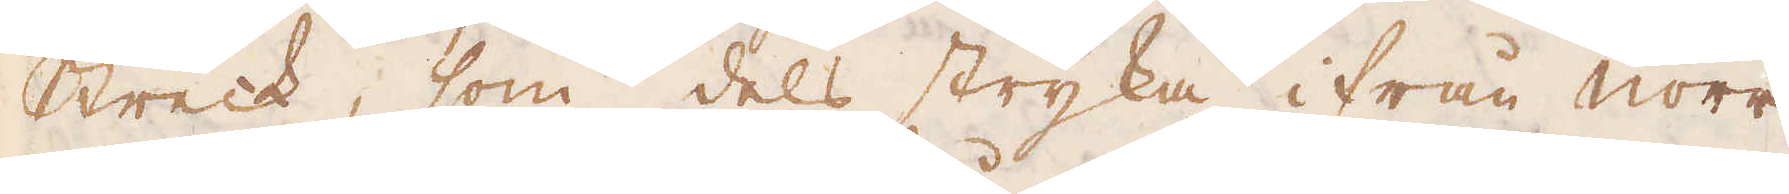Streck, som dels stryka ifrån Norr
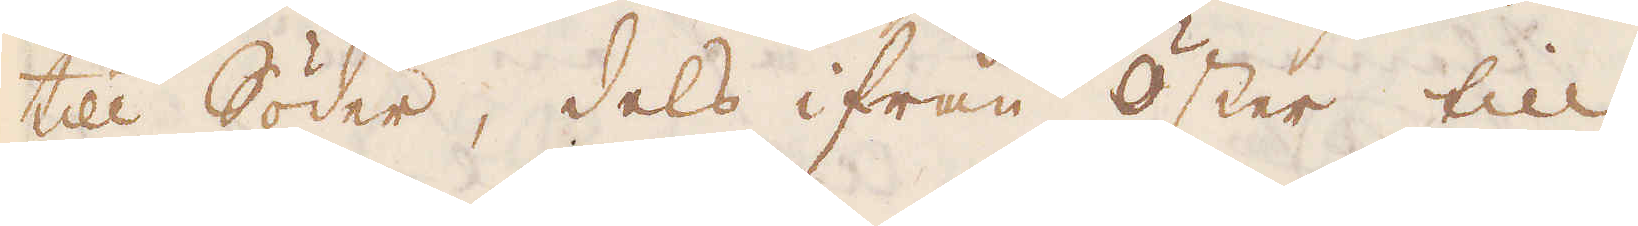till Söder, dels ifrån Öster till
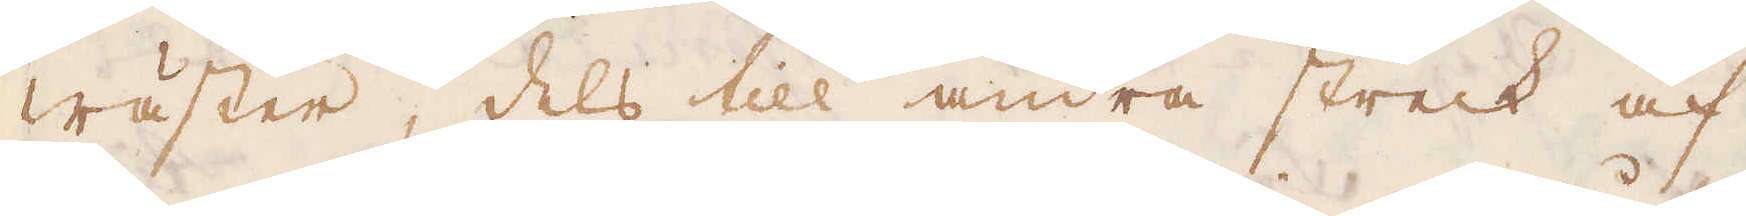Wäster, dels till andra streck af
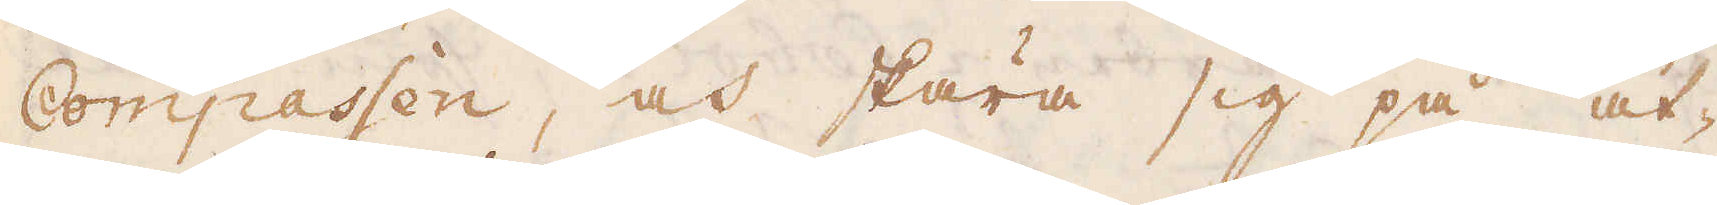Compassen, och skära sig på åt-
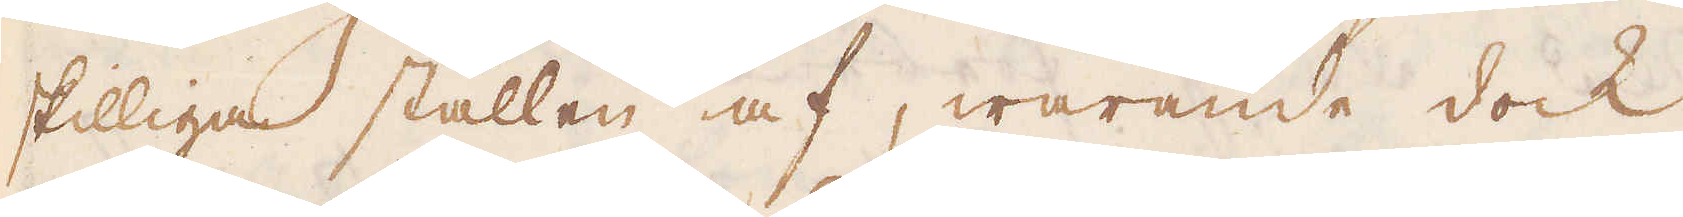skilliga ställen af, warande dock
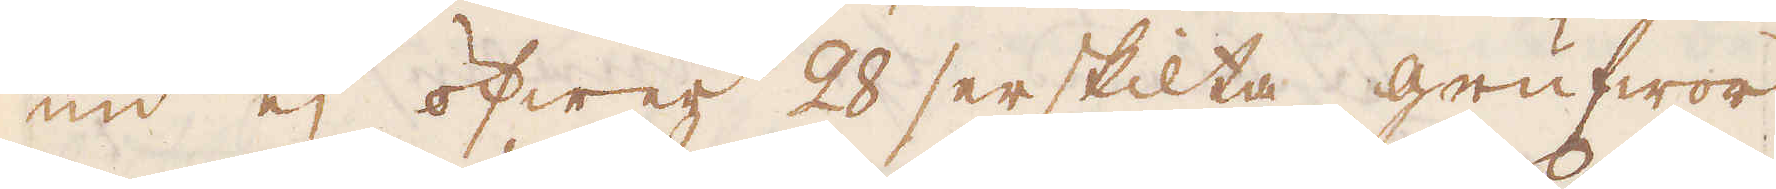nu ej öfwer 28 serskilta grufwor
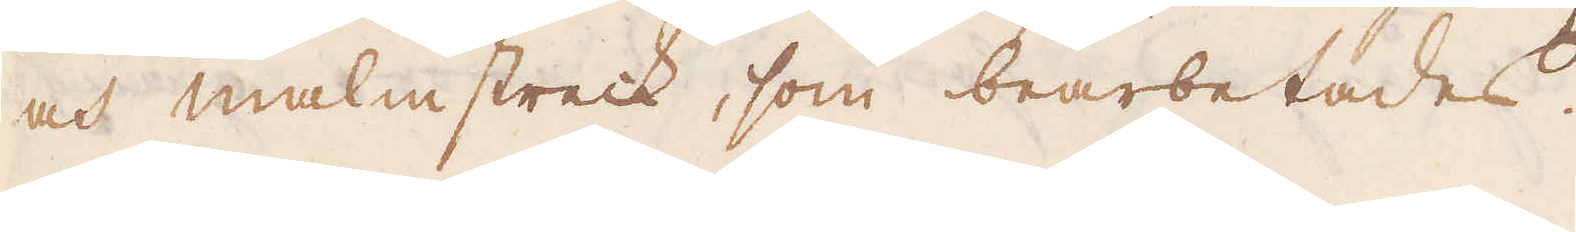och malmstreck, som bearbetades.
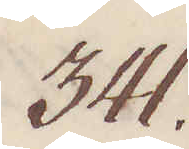341.
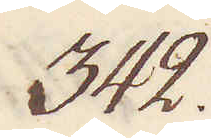342.
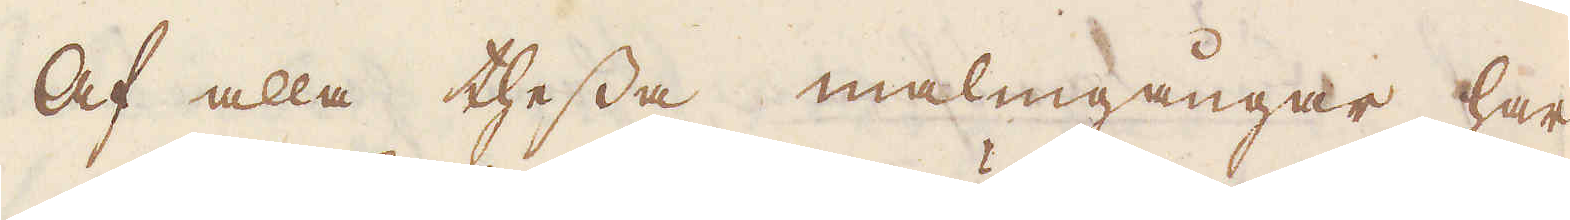Af alla thessa malmgångar, har
